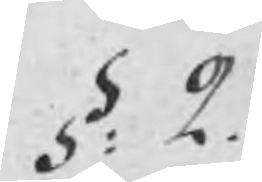§: 2.
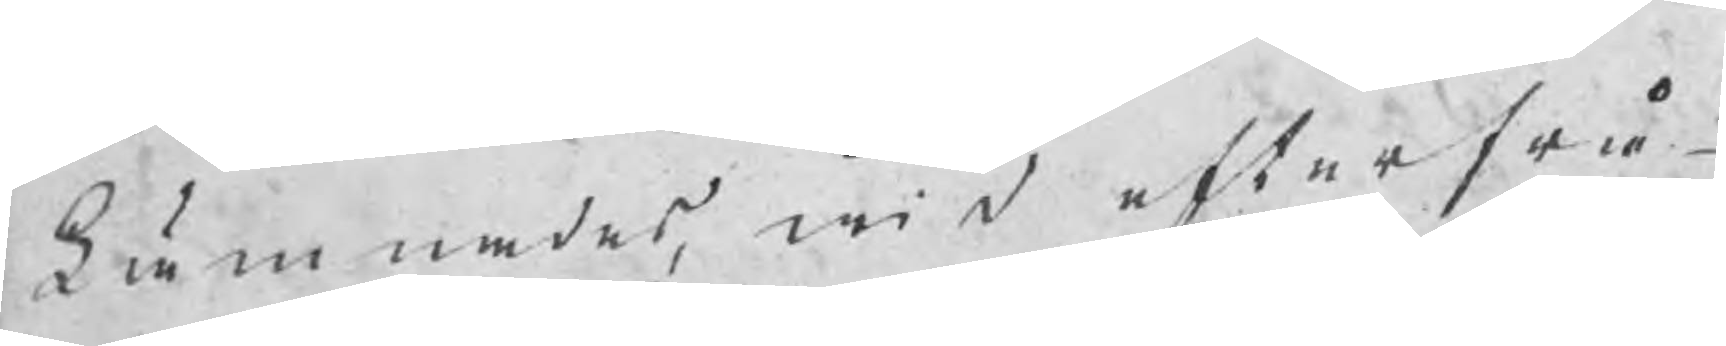Lämnades, wid efterfrå¬
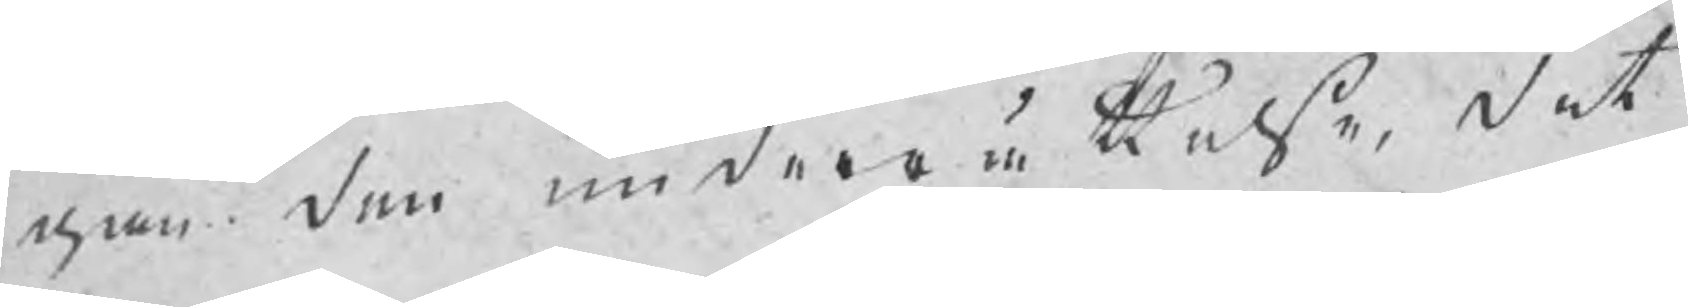gan den underrättelse, det
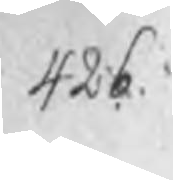426.
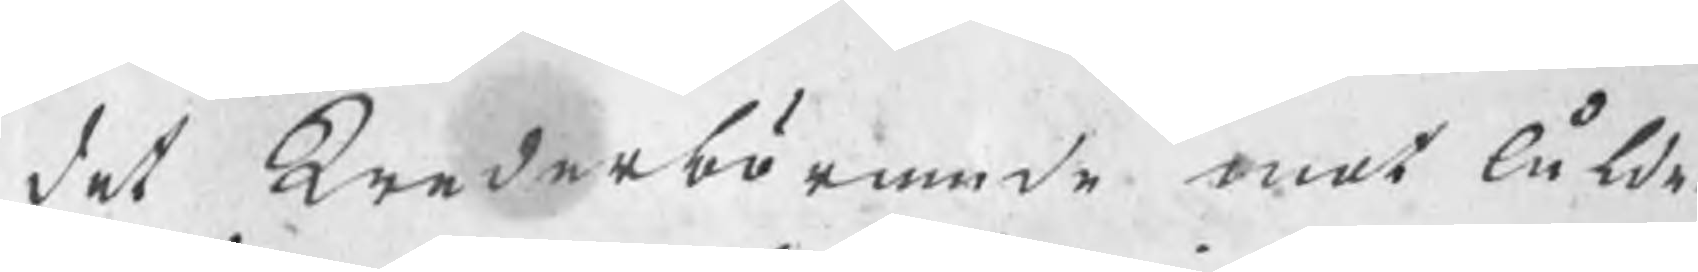det Wederbörande mot Ålder¬
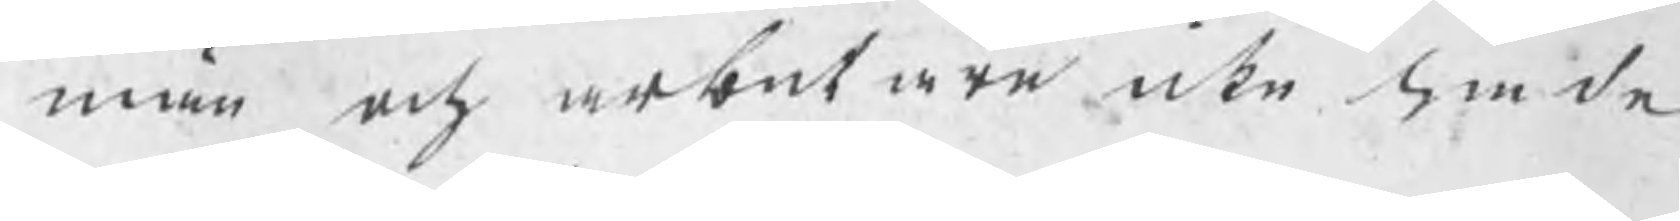män och arbetare icke hade
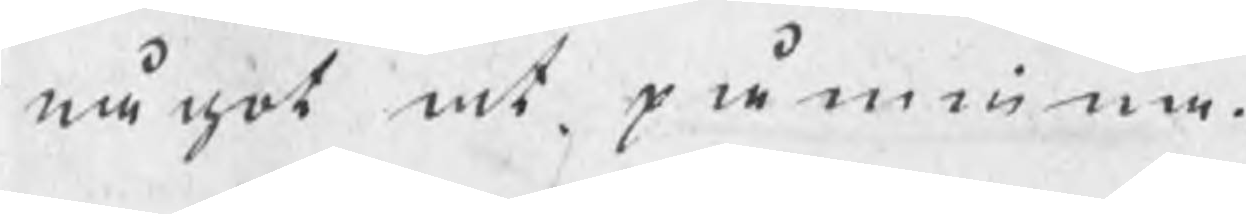något at påminna.
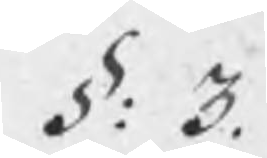§: 3.
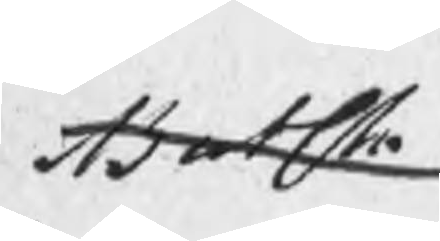Batsta
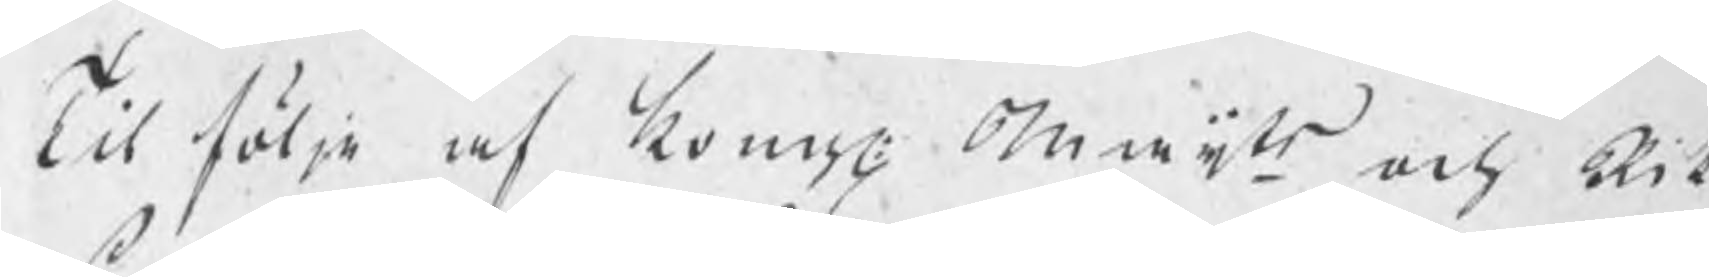Til följe af kongl. maijts och Rik¬
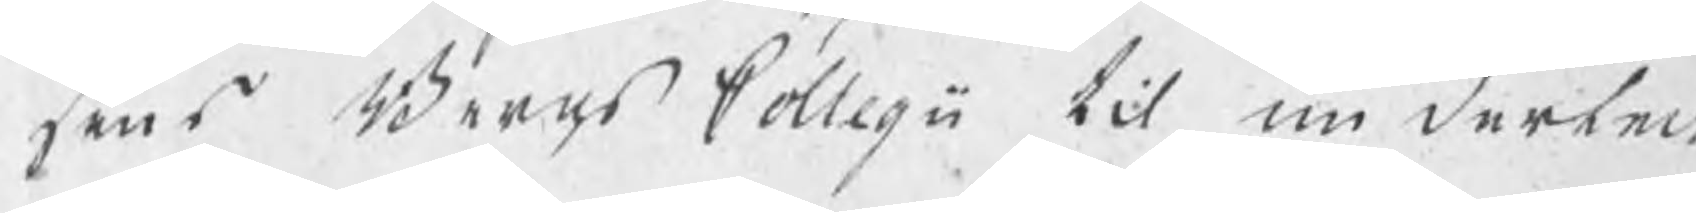sens Bergs Collegii til underteck¬
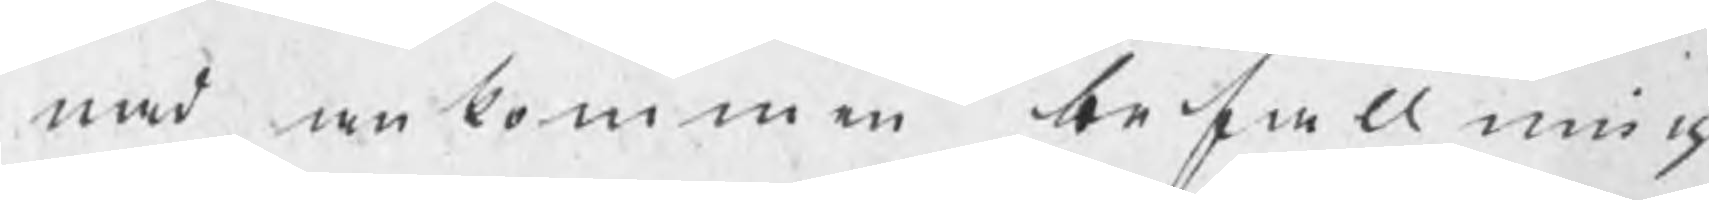nad ankommen befallning
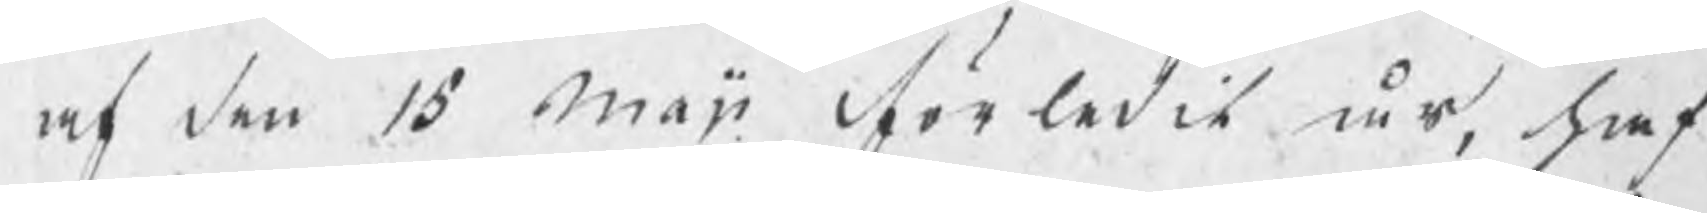af den 15 maji förledit åt, haf¬
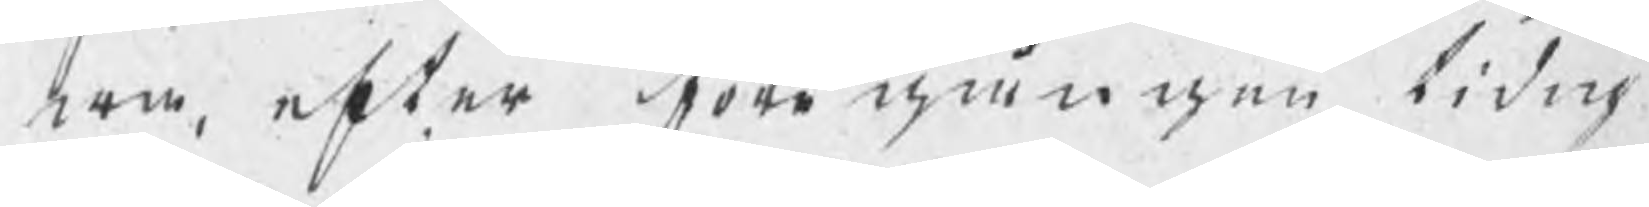wa, efter föegången tidig
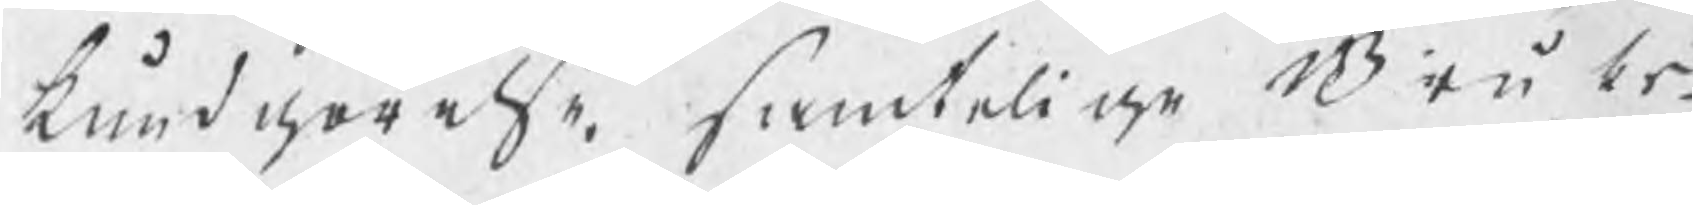kundgörelse, samtelige Bruks¬
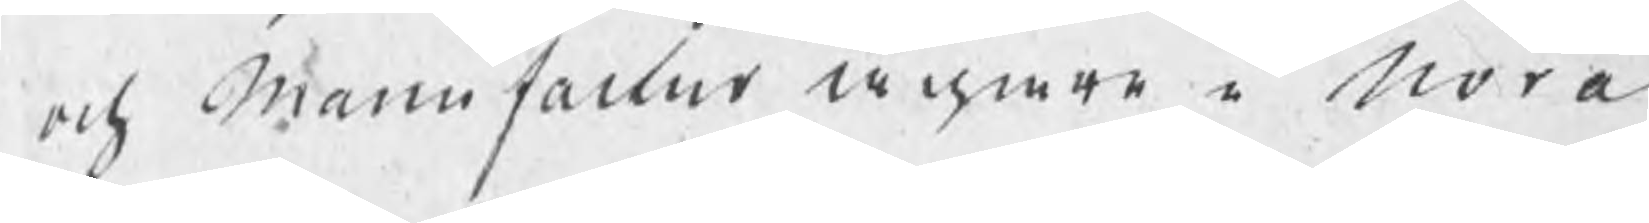och manufactur ägare i Nora
